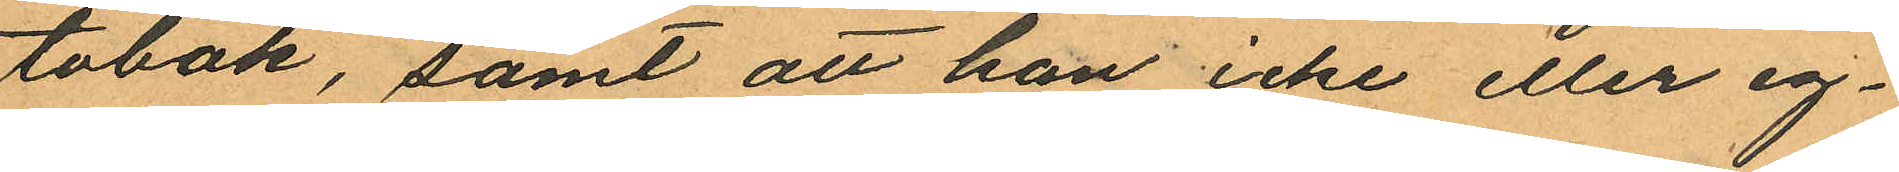tobak, samt att han icke eller eg¬
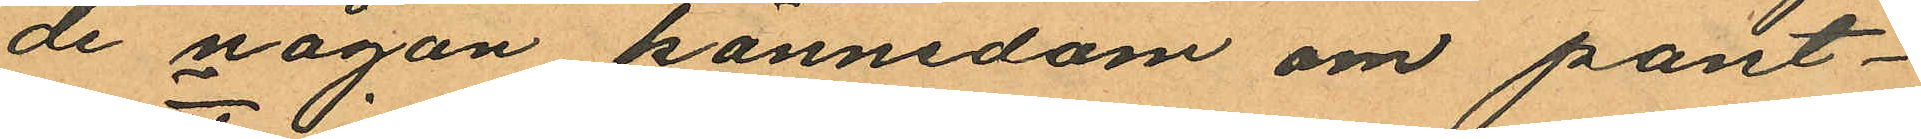de någon kännedom om pant¬
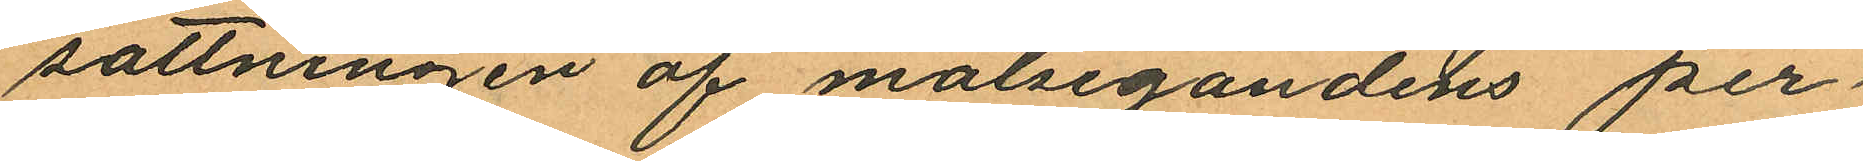sättningen af målsegandens per
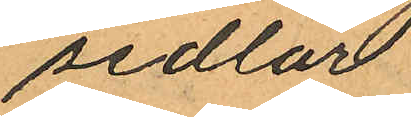sedlar
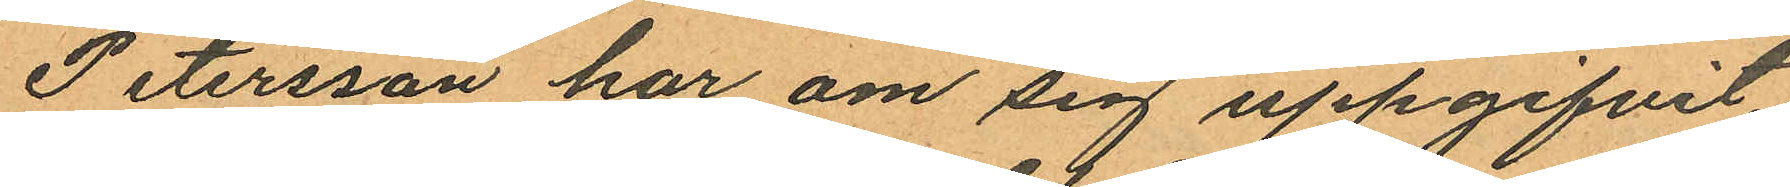Petersson har om sig uppgifvit
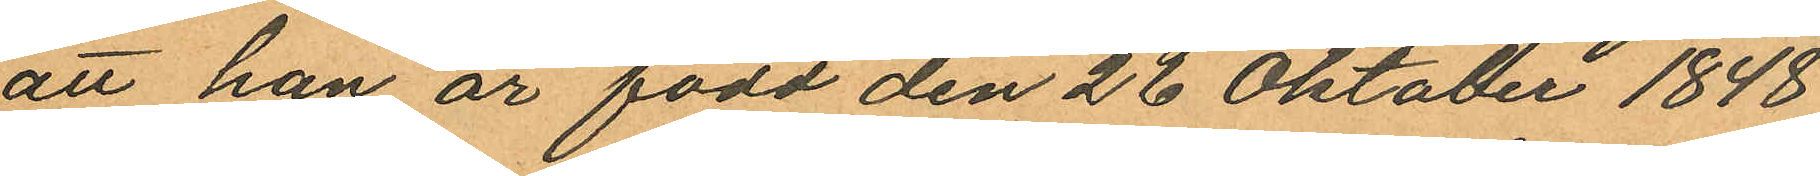att han är född den 26 Oktober 1848.
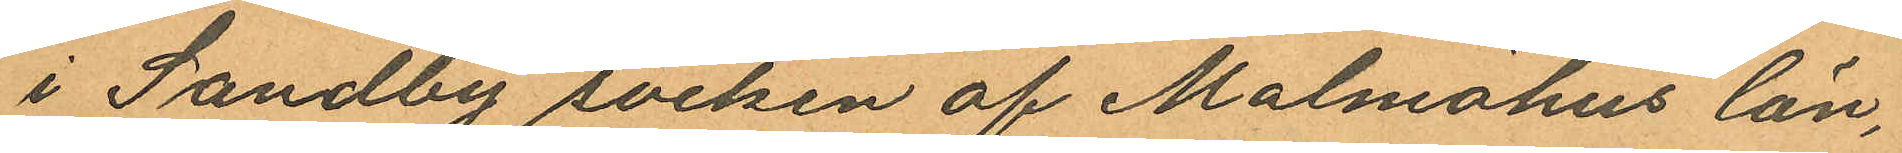i Sandby socken af Malmöhus län,
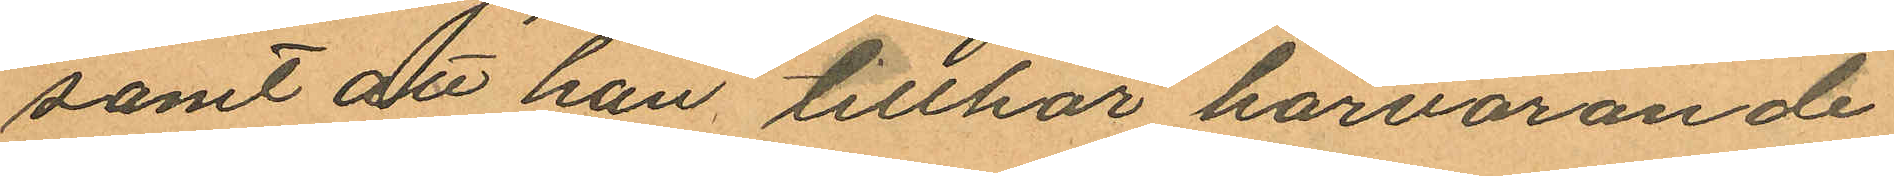samt dtt han tillhör härvarande
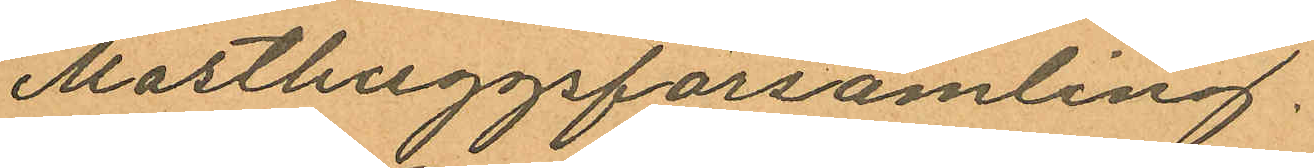Masthuggsförsamling.
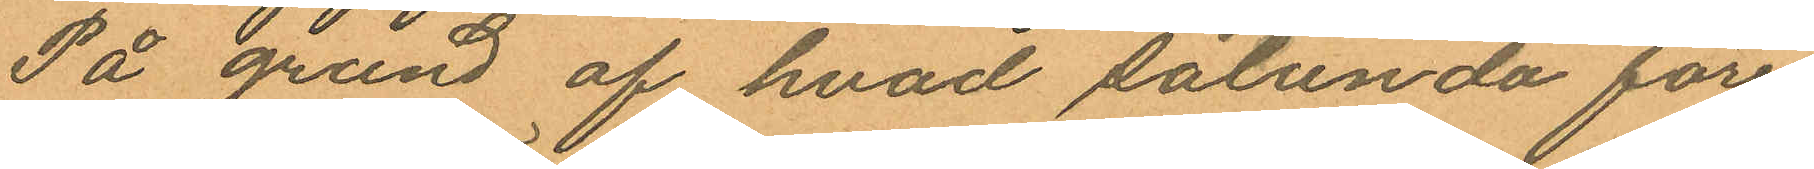På grund af hvad sålunda före
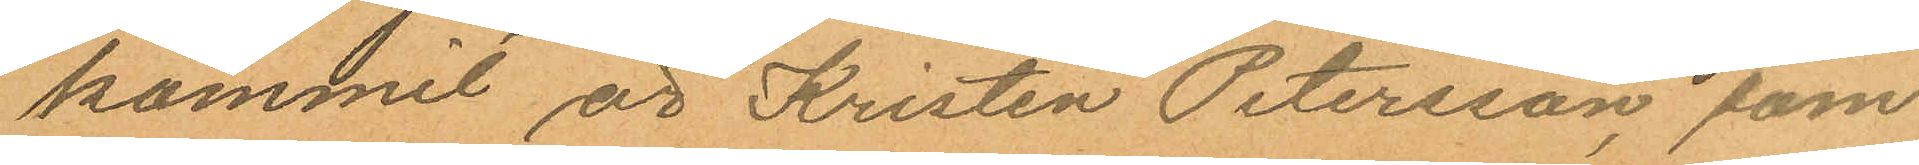kommit är Kristen Petersson, som
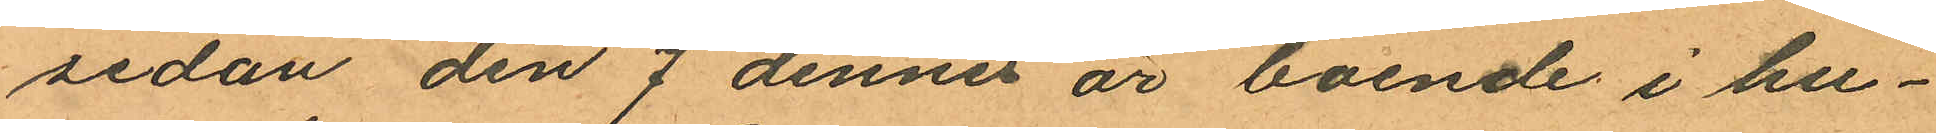sedan den 7 dennes är boende i hu¬
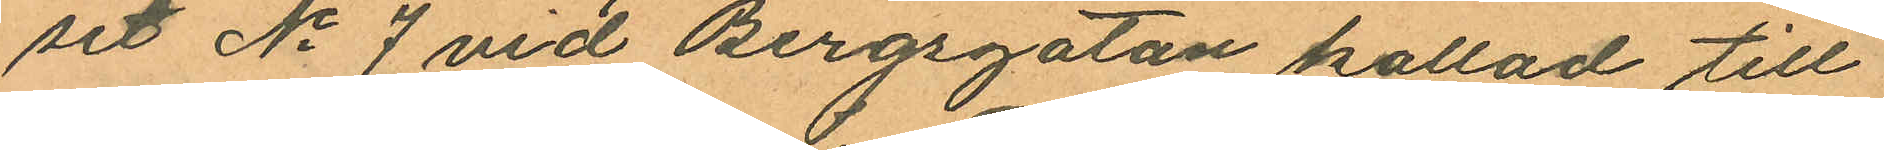set No 7 vid Bergsgatan kallad till
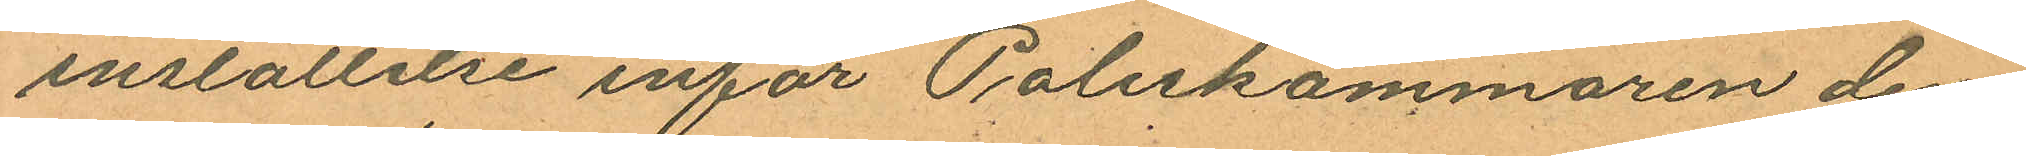inställelse inför Poliskammaren den¬
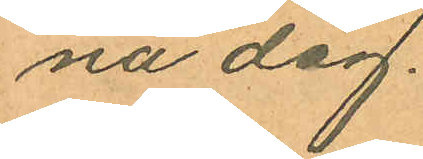na dag.
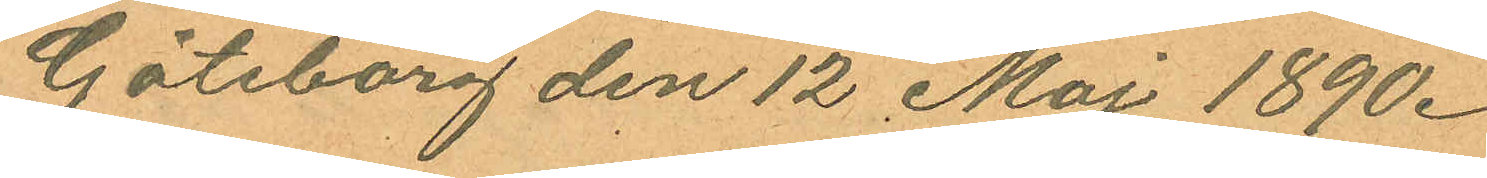Göteborg den 12 Maj 1890.
